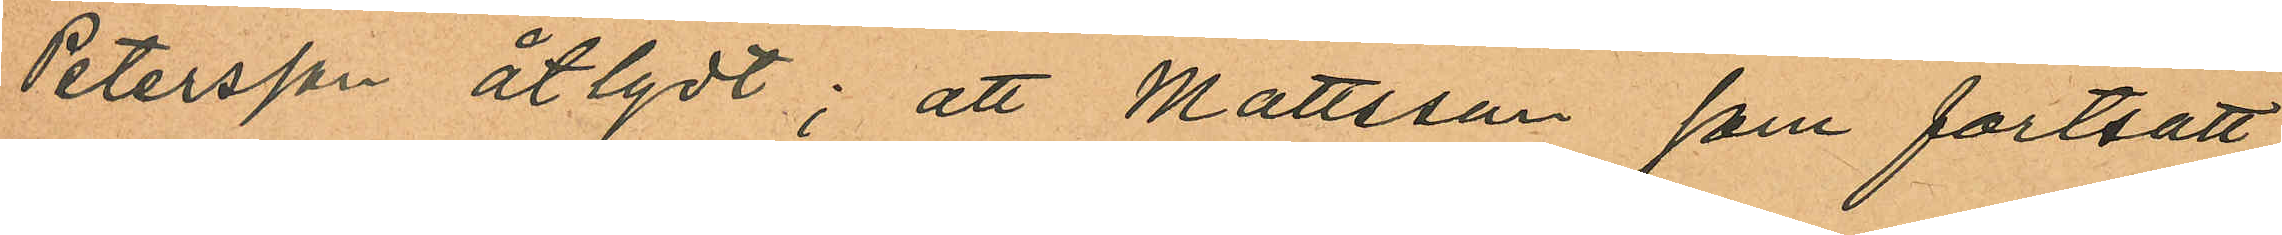Petersson åtlydt; att Mattsson, som fortsatt
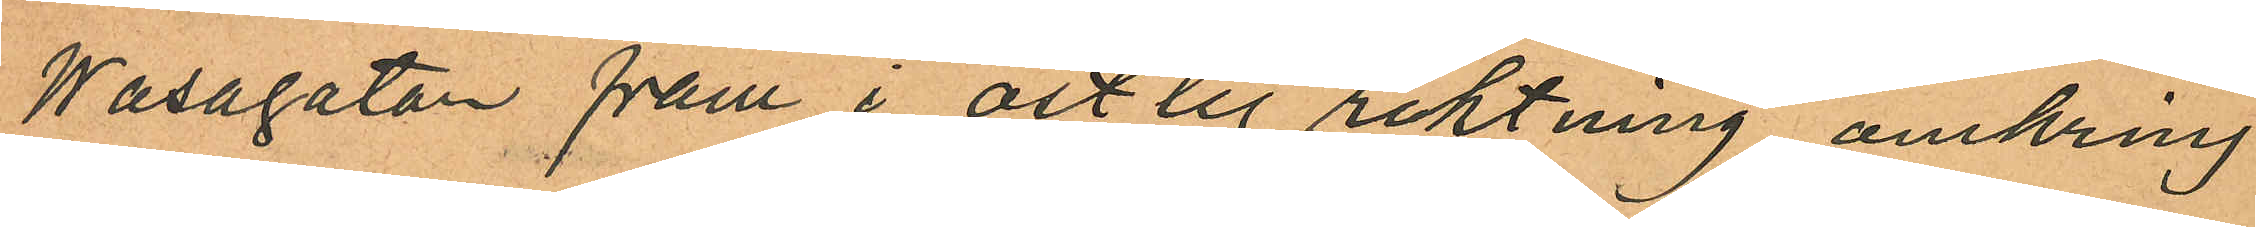Wasagatan fram i ostlig riktning, omkring
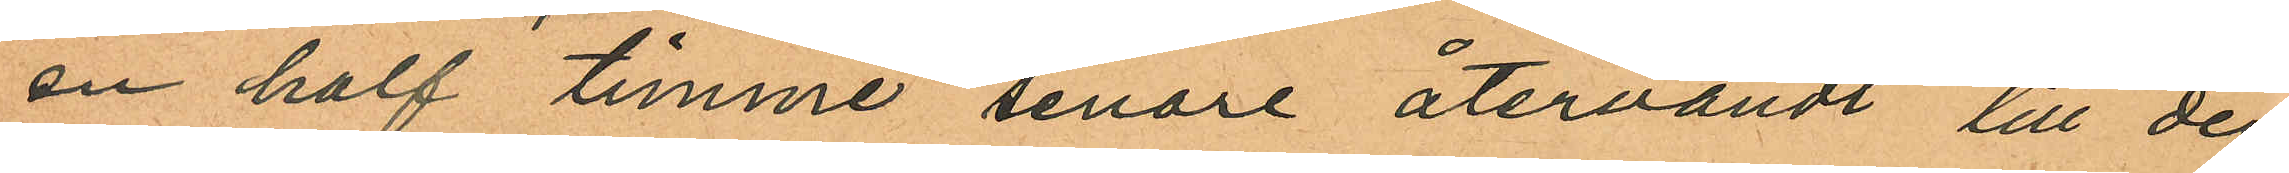en half timme senare återvändt till den
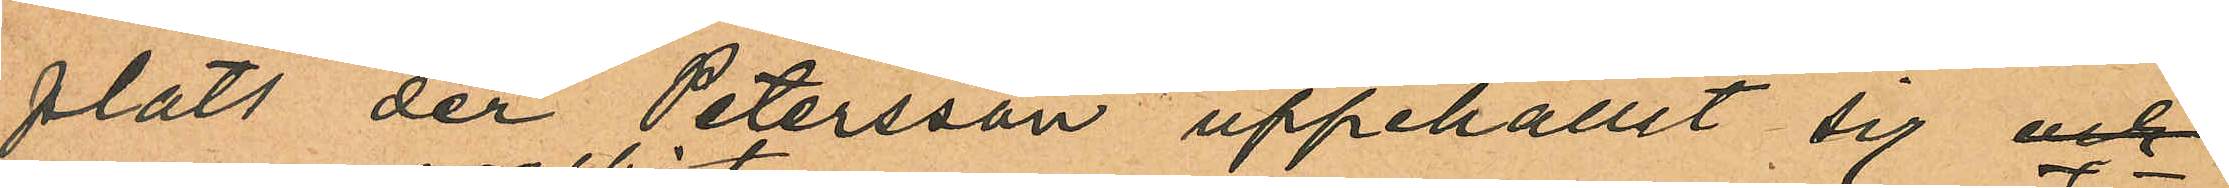plats der Petersson uppehållit sig och
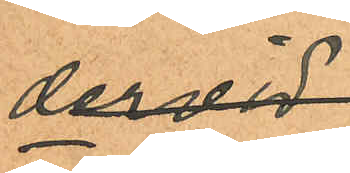dervid
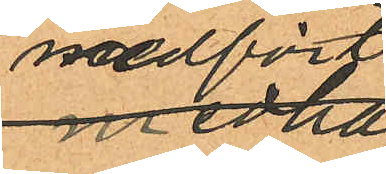medfört
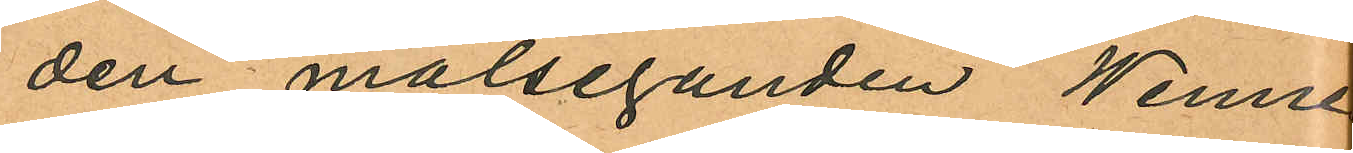den målseganden Wenne
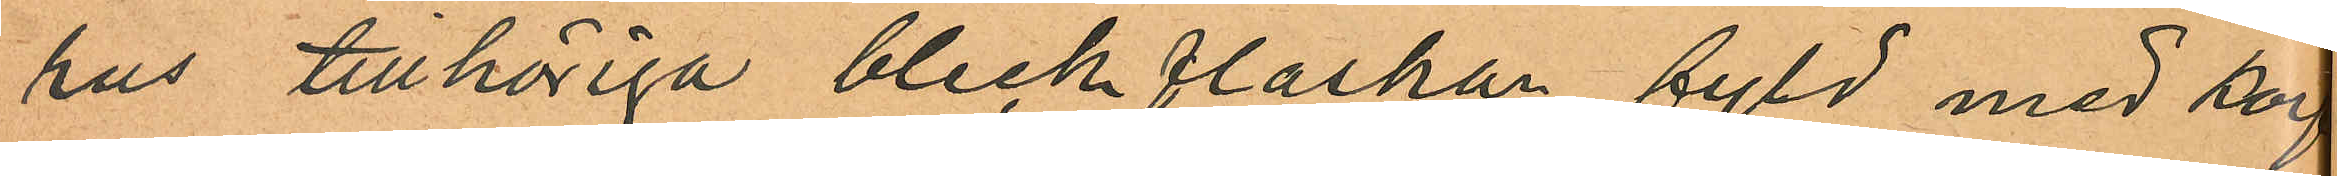rus tillhöriga bleckflaskan fyld med korf
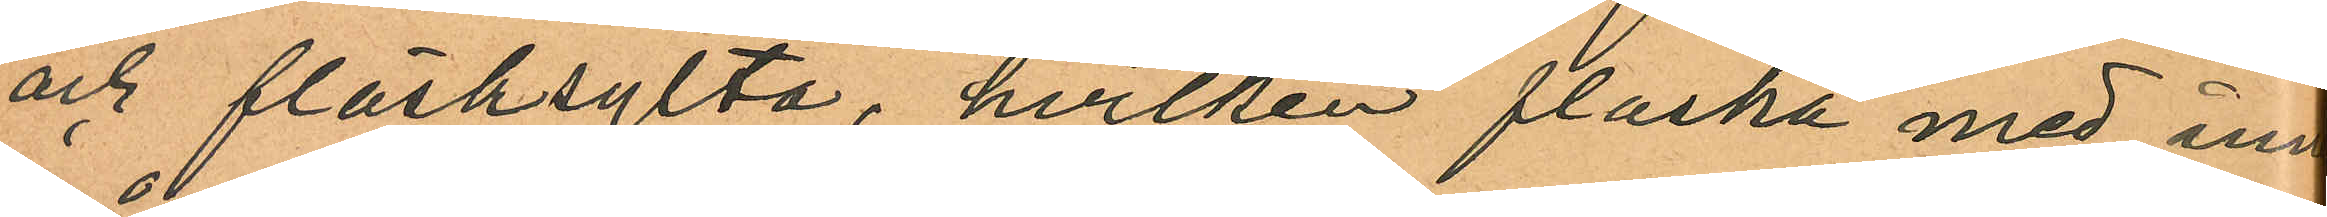och fläsksylta, hvilken flaska med inne
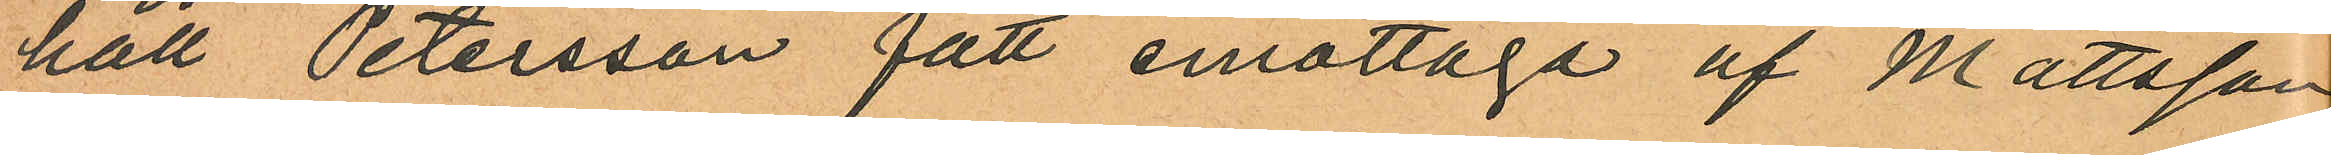håll Petersson fått emottaga af Mattsson
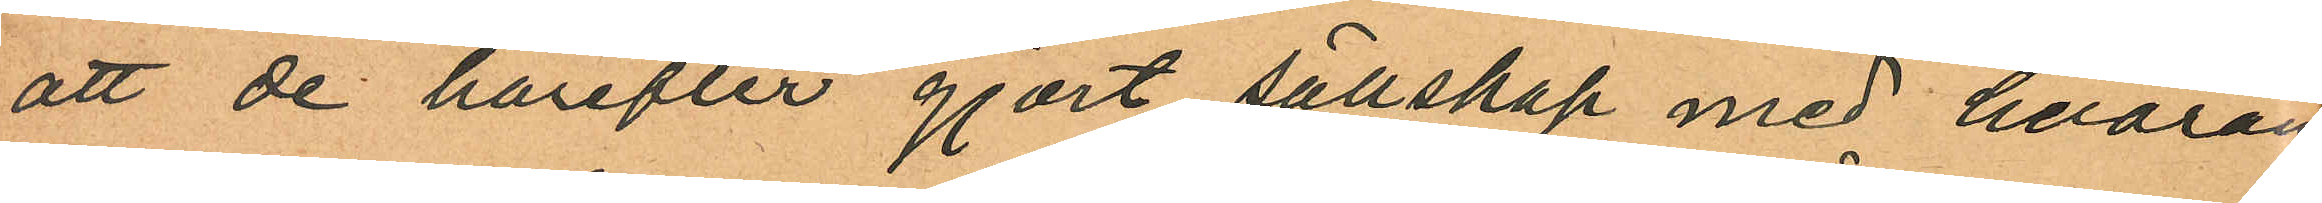att de härefter gjort sällskap med hvaran
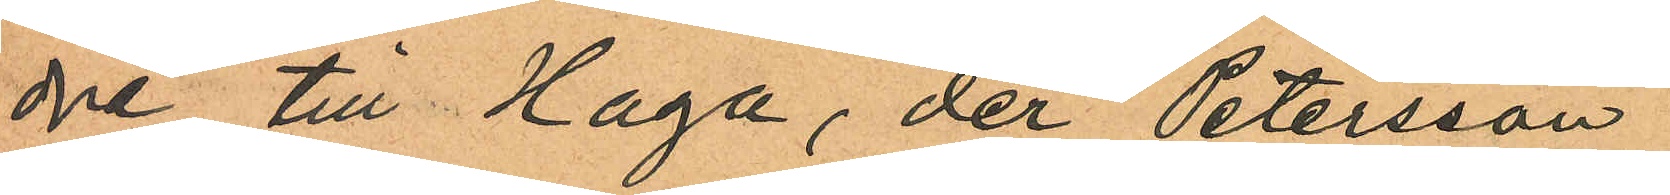dre till Haga, der Petersson
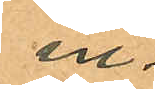in¬
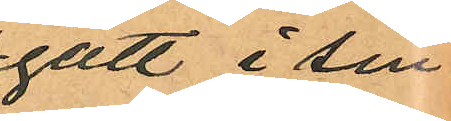gått i sin
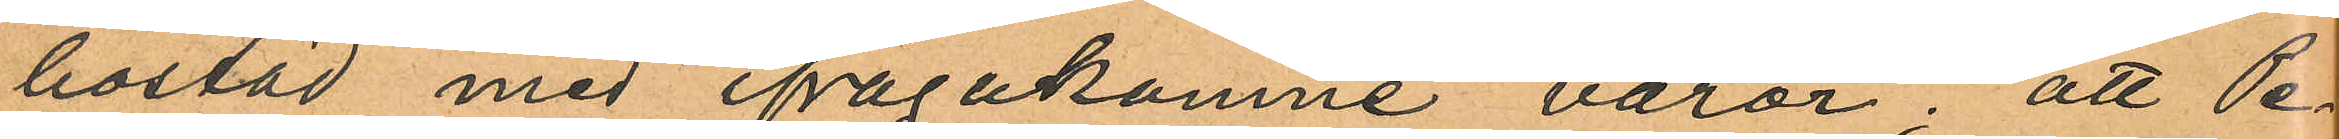bostad med ifrågakomne varor; att Pe¬
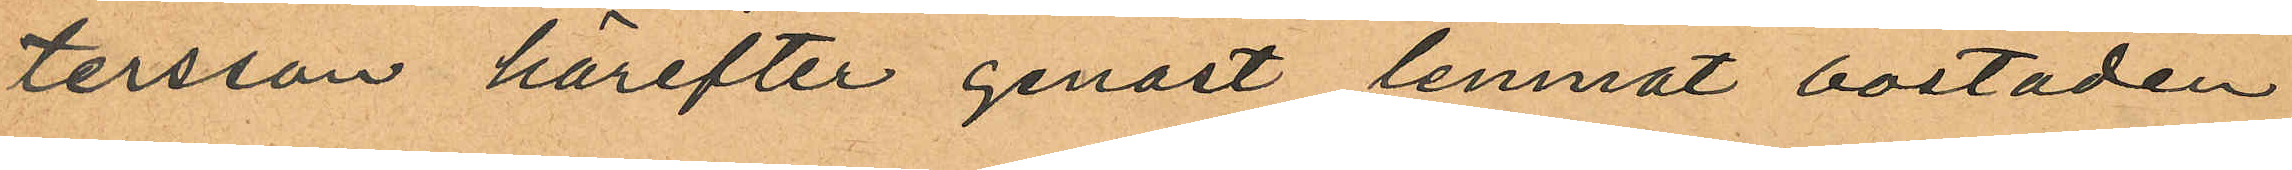tersson härefter genast lemnat bostaden
